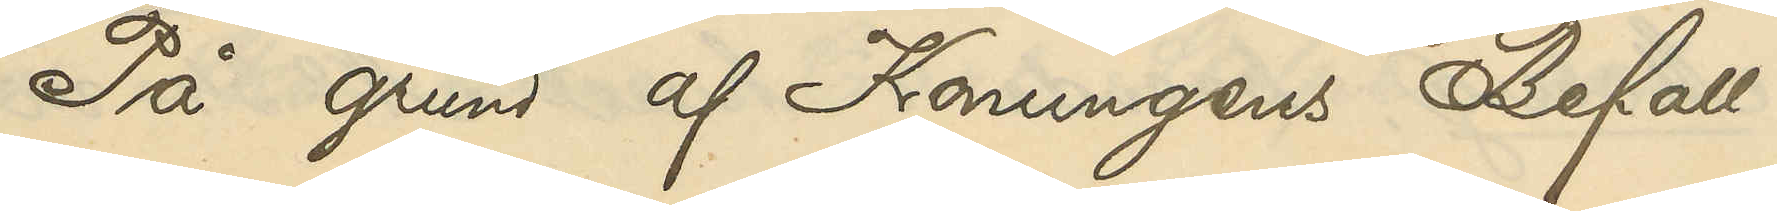På grund af Konungens Befall¬
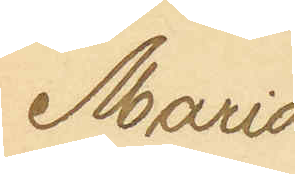Maria
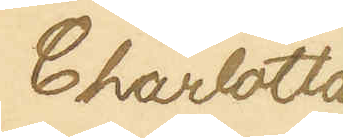Charlotta
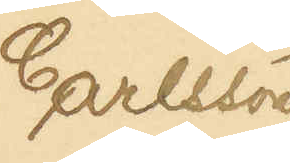Carlsson
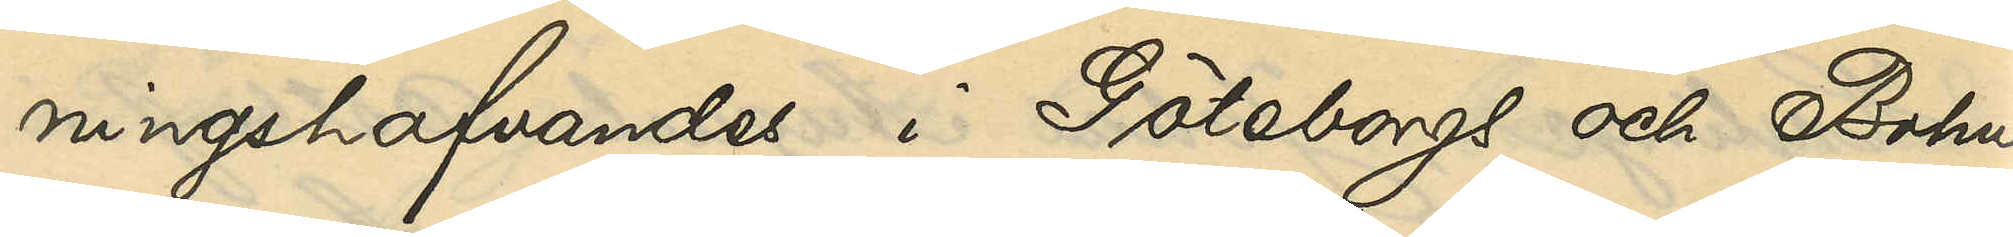ningshafvandes i Göteborgs och Bohus
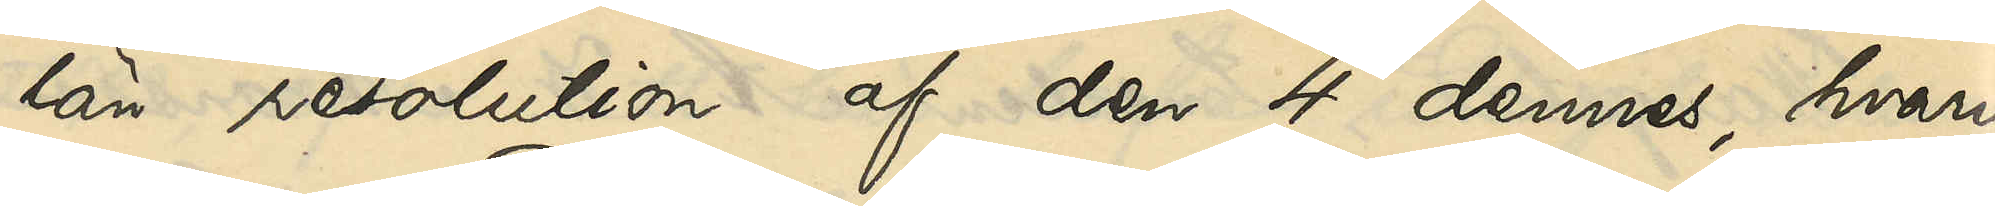län resolution af den 4 dennes, hvari¬
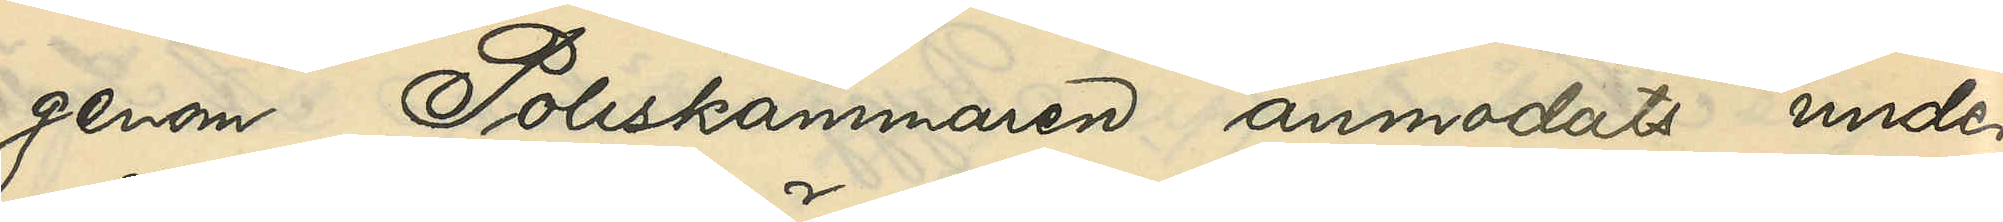genom Poliskammaren anmodats under¬
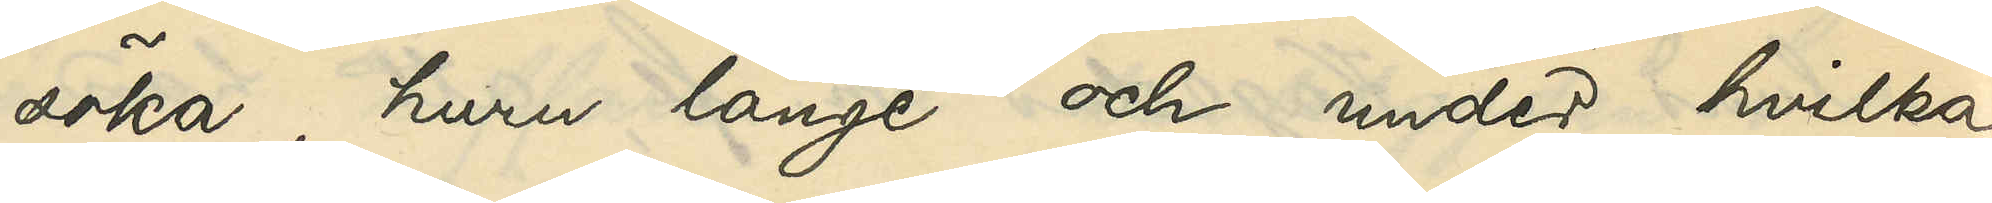söka, huru länge och under hvilka
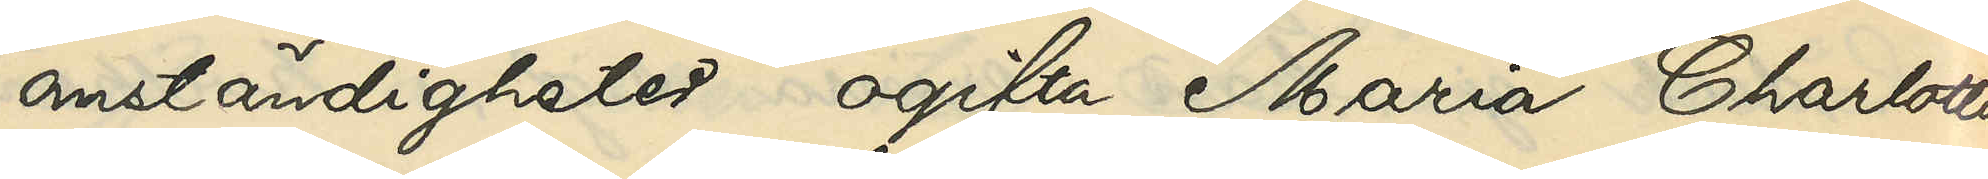omständigheter ogifta Maria Charlotta
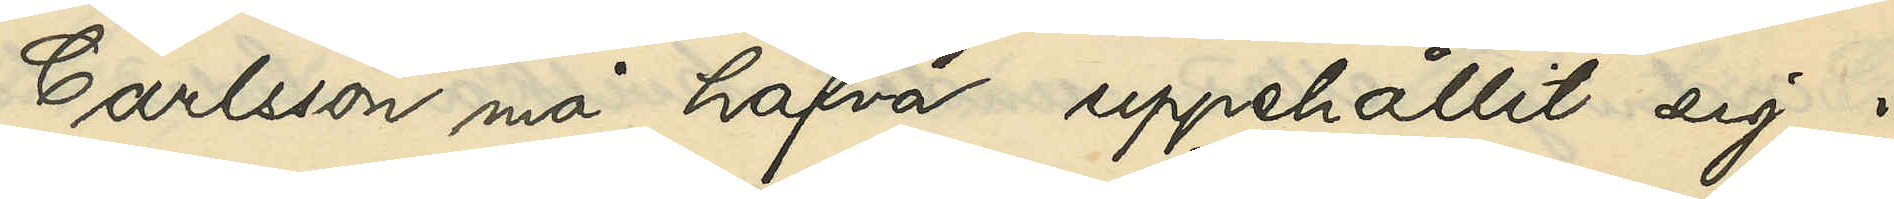Carlsson må hafva uppehållit sig i
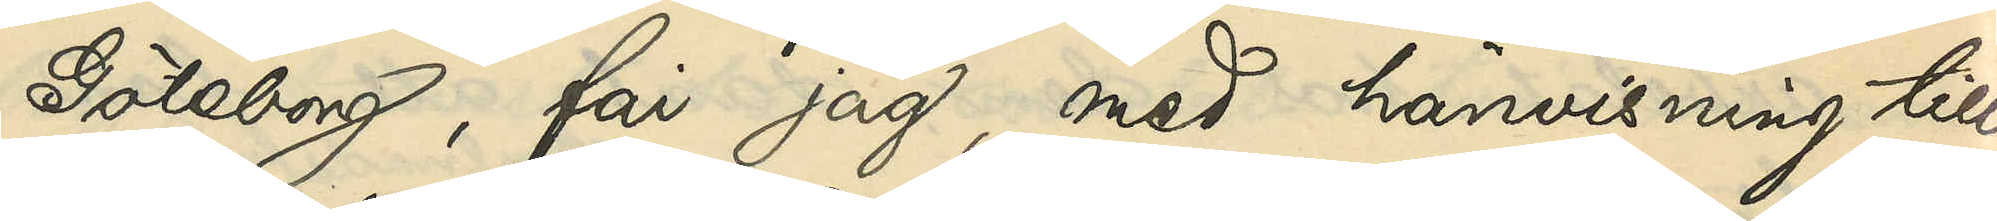Göteborg, får jag, med hänvisning till
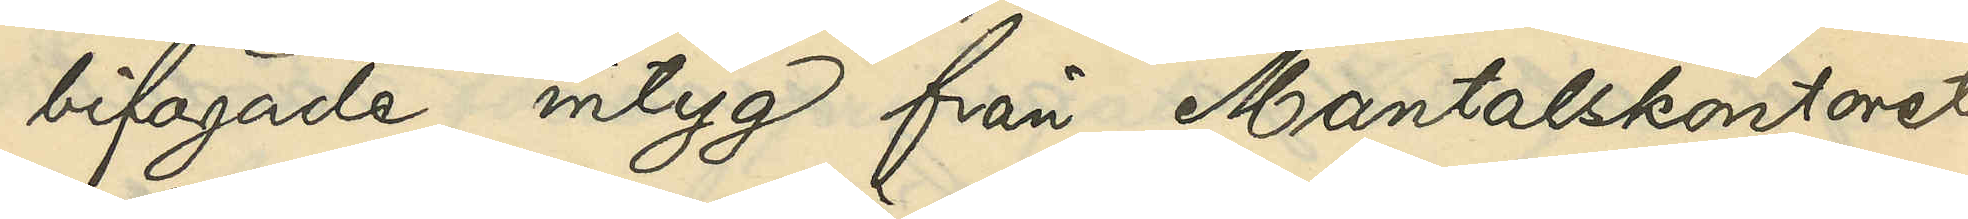bifogade intyg från Mantalskontoret
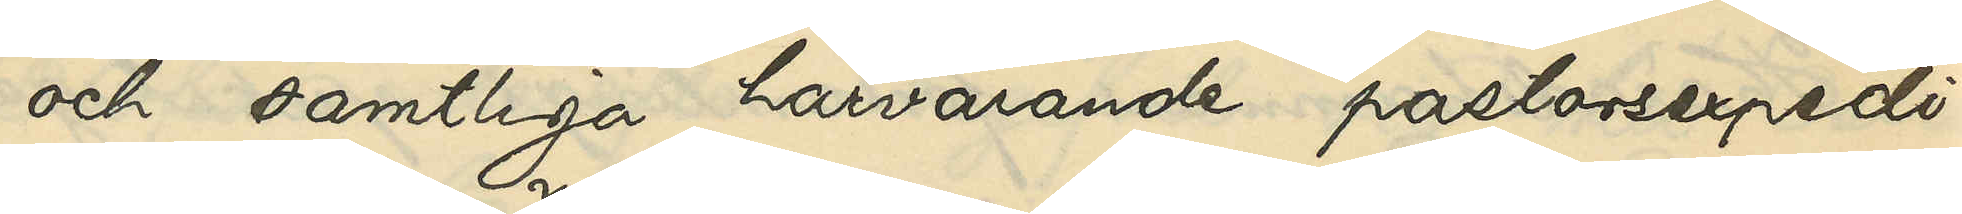och samtliga härvarande pastorsexpedi¬
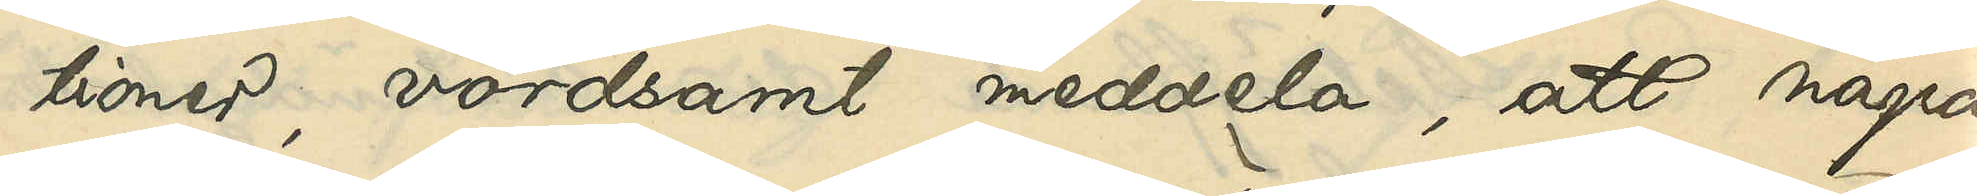tioner, vördsamt meddela, att några
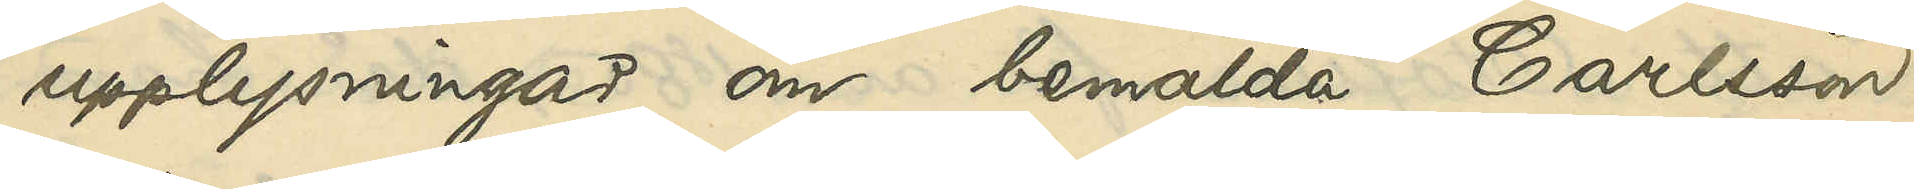upplysningar om bemälda Carlsson
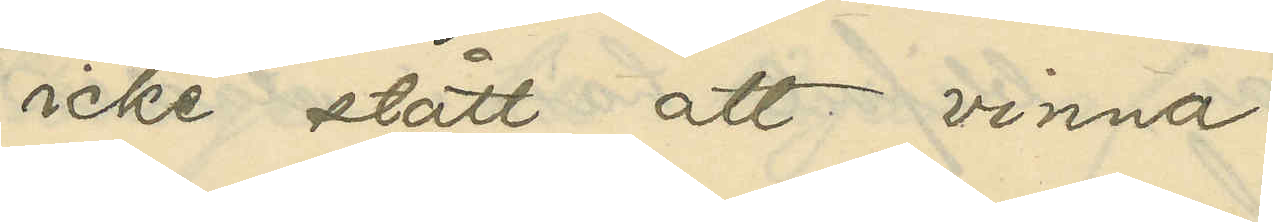icke stått att vinna.
